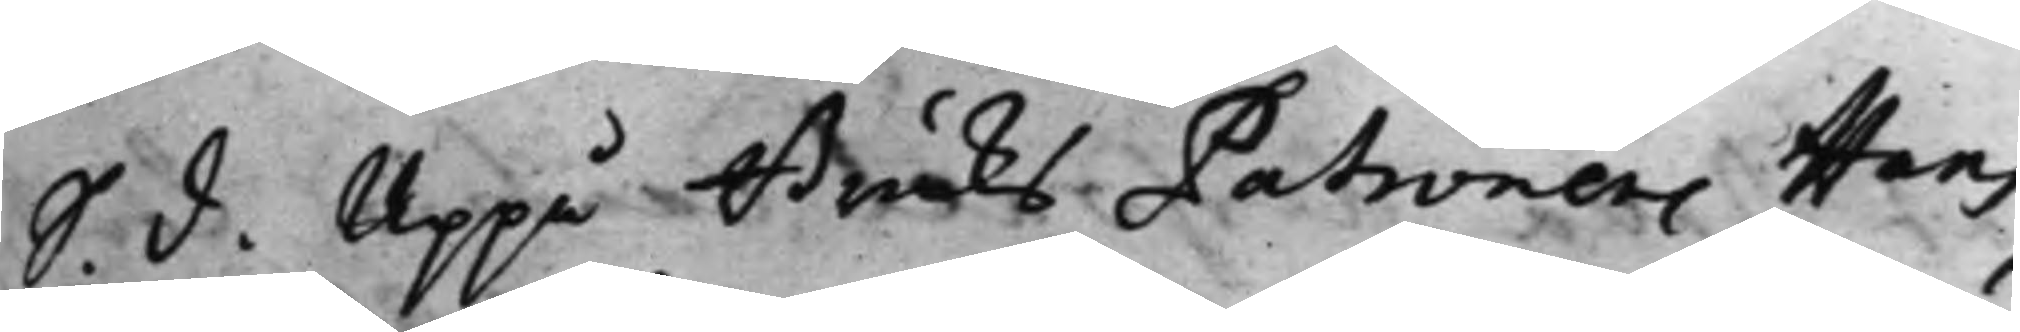S. d. Uppå Bruks Patronens Hans
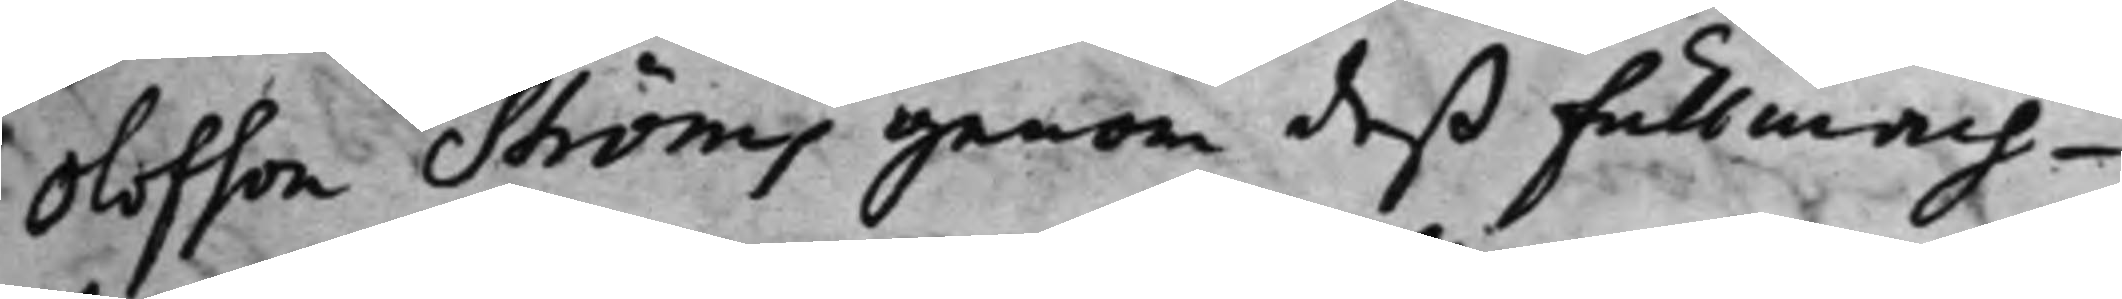Olofson Ströms genom deß fullmäch¬
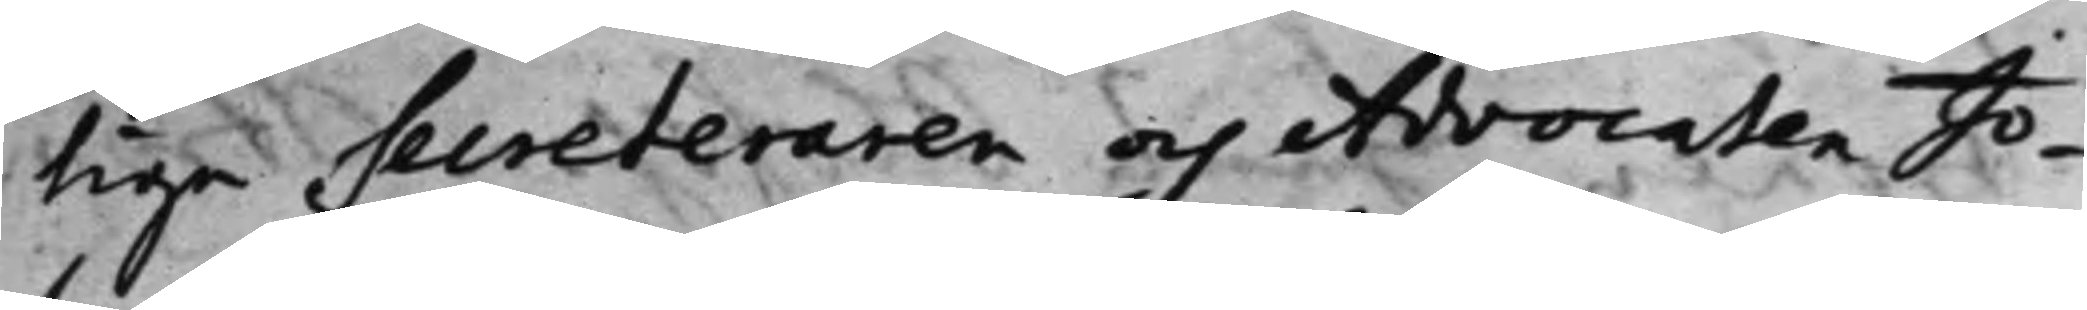tige Secreteraren och Advocaten Jo¬
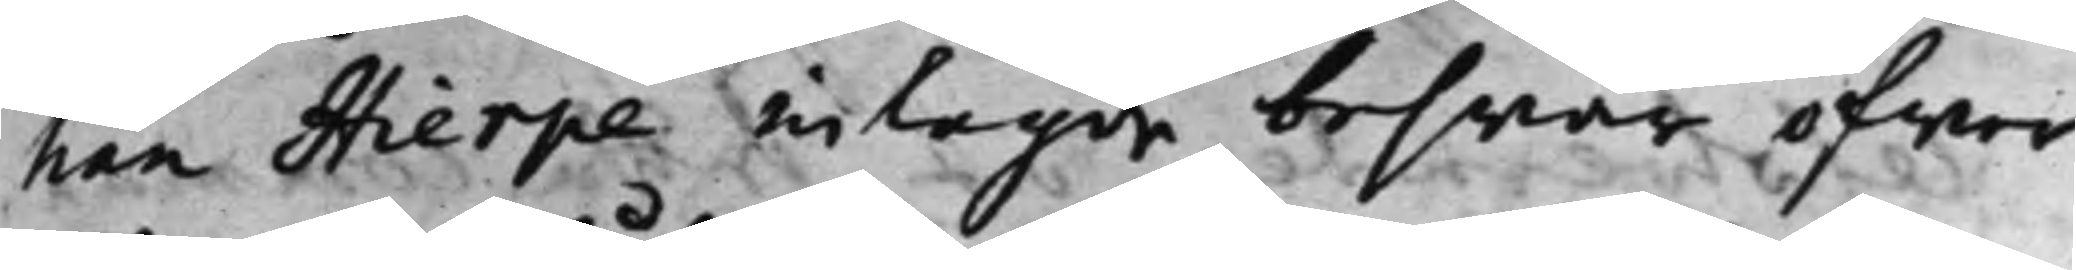han Hierpe inlagde beswär öfwer
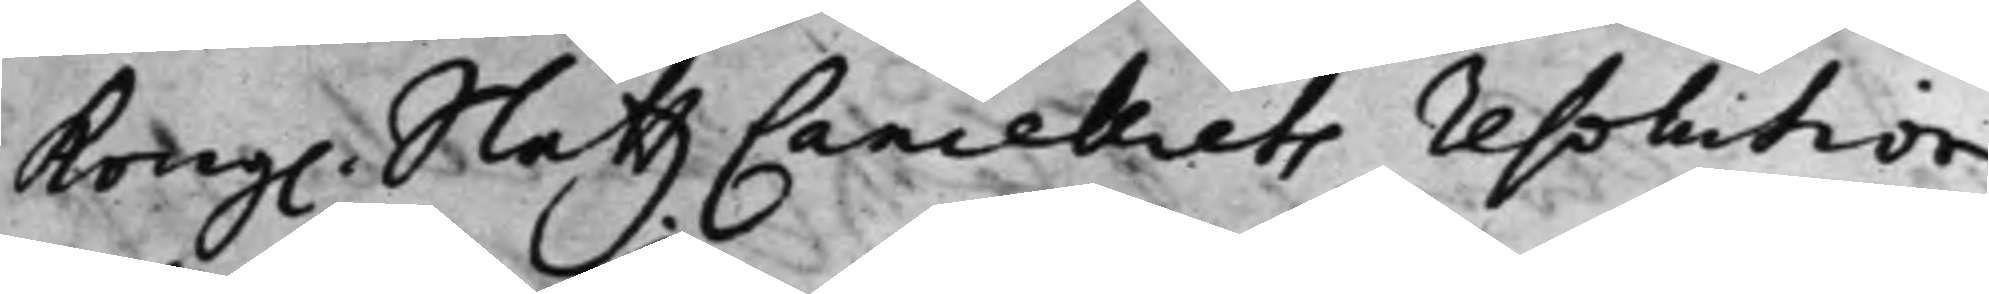Kong. SlåttzCancelliets resolution
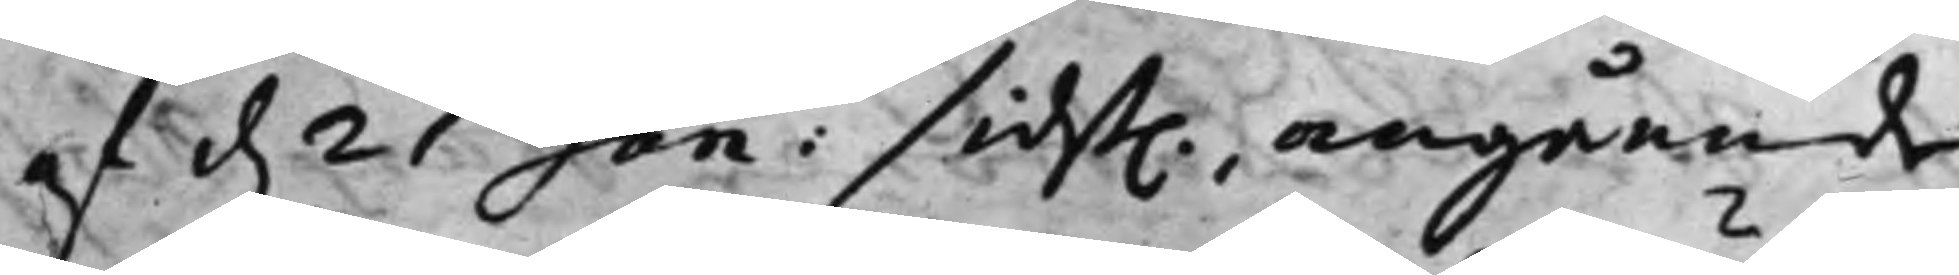af d. 21 Jan: sidst. angående
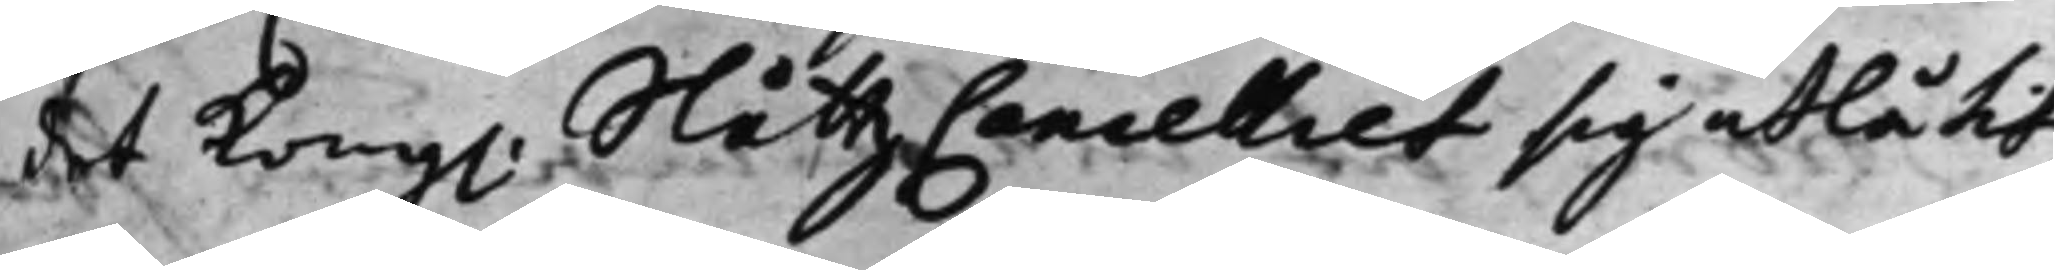det Kong. SlåttzCancelliet sig utlåtit,
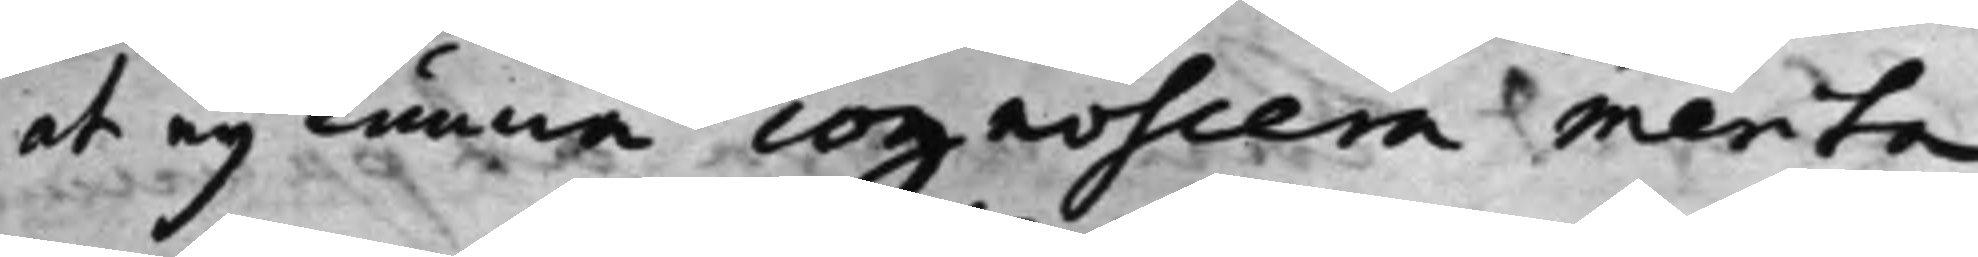at ey kunna cognoscera merita
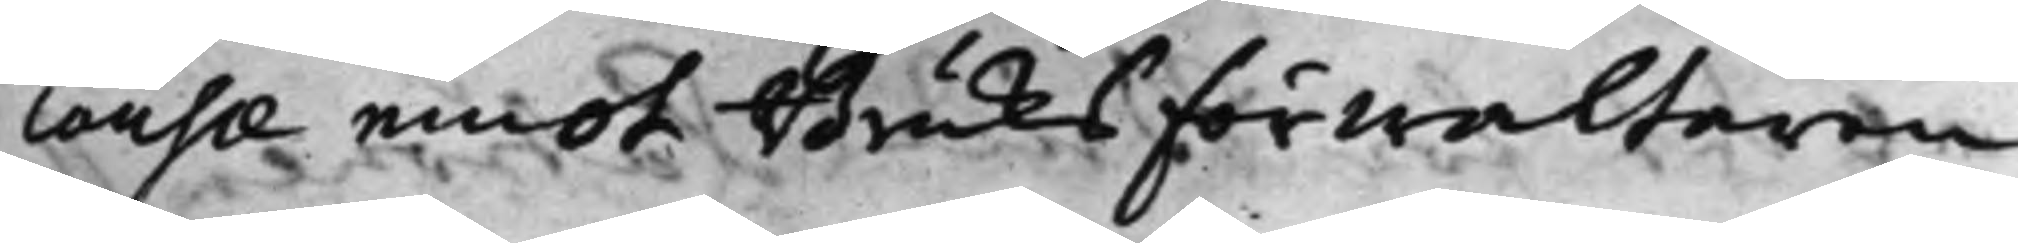cousae emot Bruks Förwaltaren
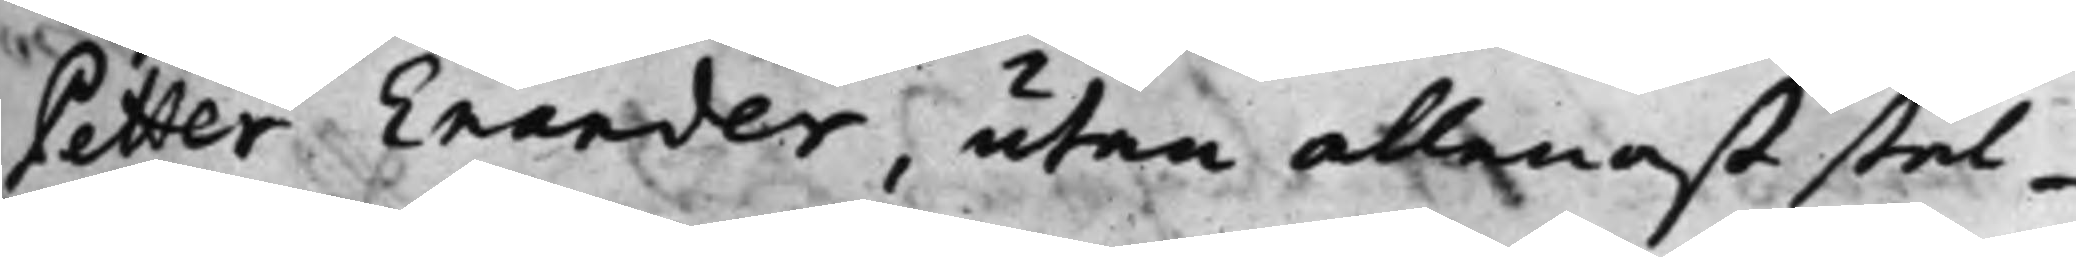Petter Enander, utan allenast stäl¬
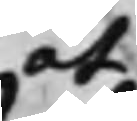at
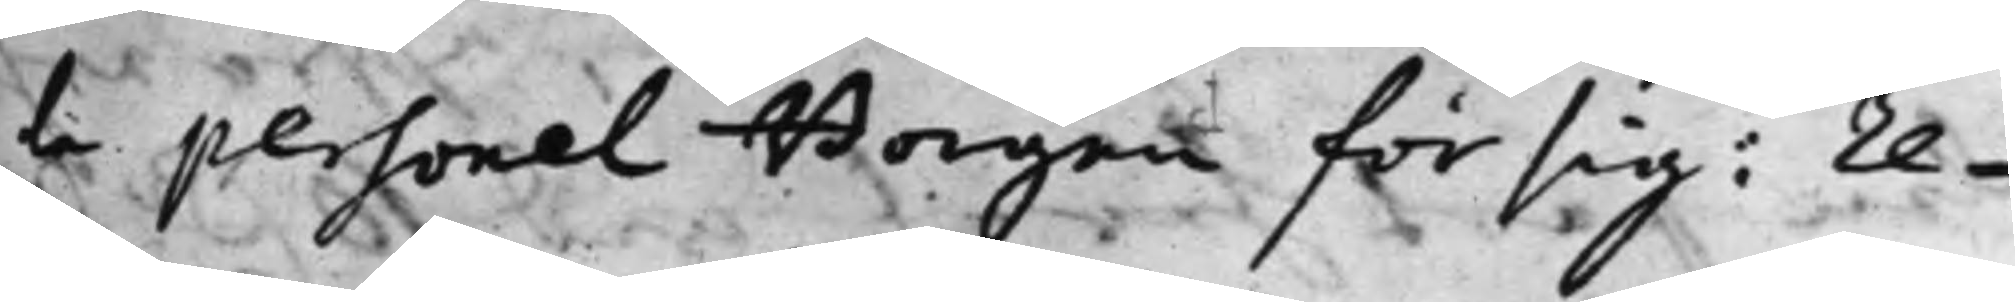la personel Borgen för sig: re¬
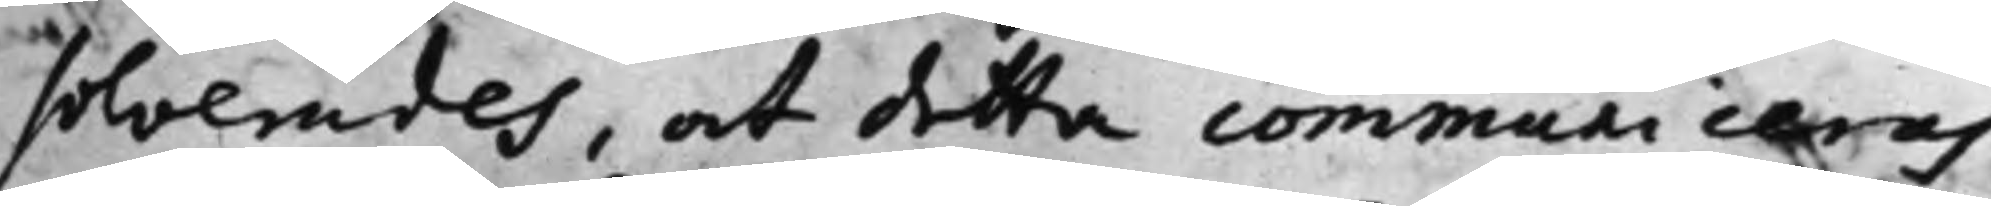solverades, at detta communiceras
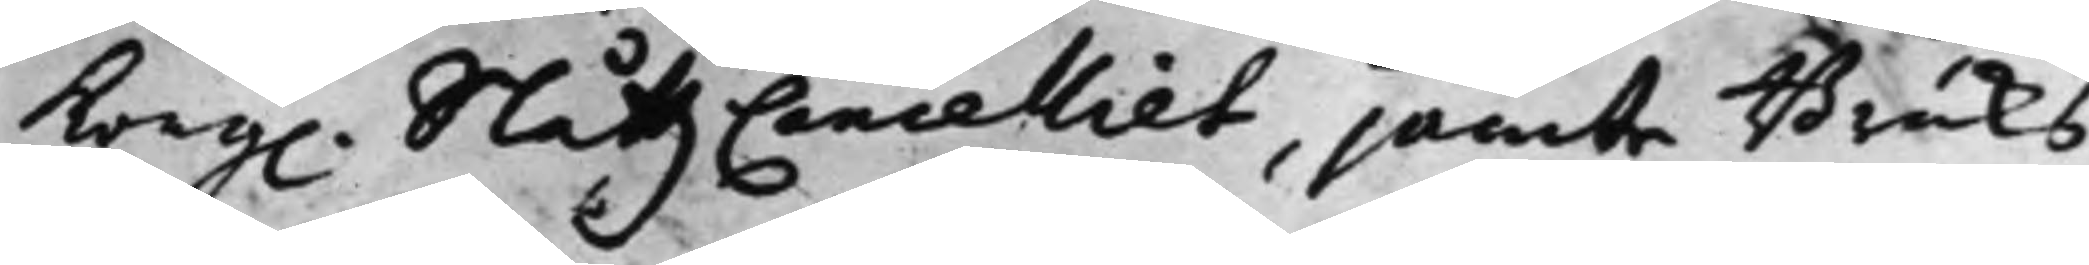Kong. Slåttz Cancelliet, jämte Bruks
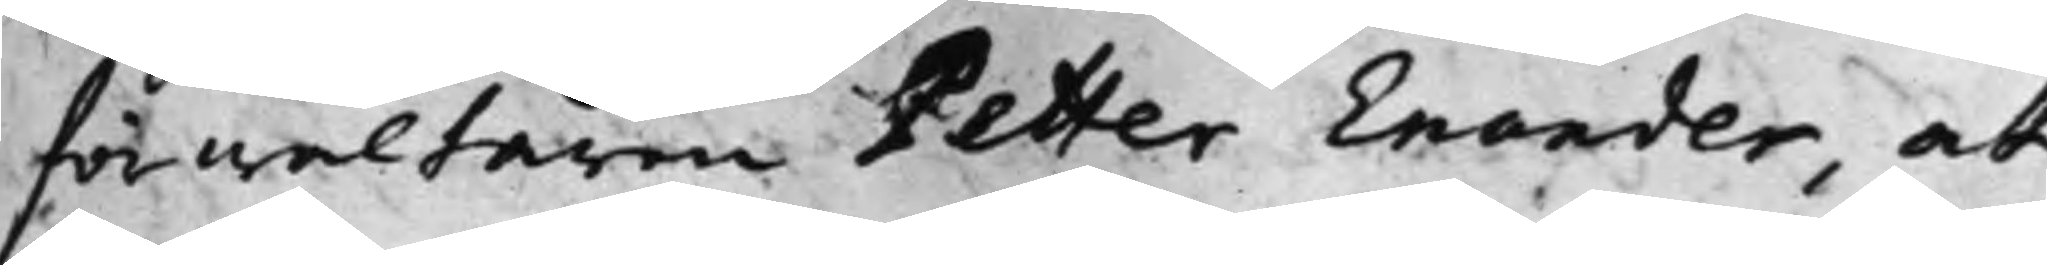förwaltaren Petter Enander, at
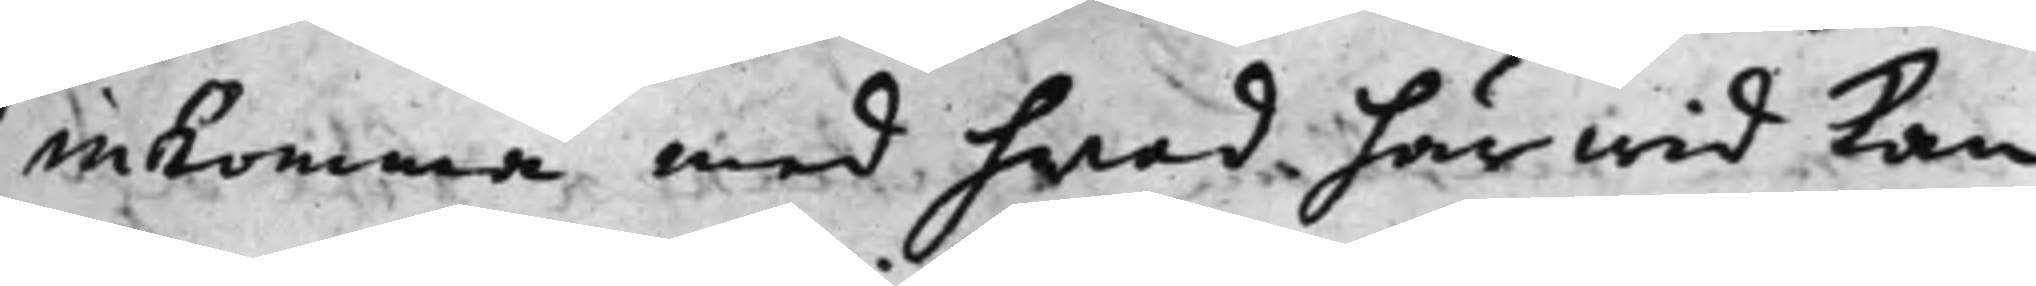inkomma med hvad härwid kan
